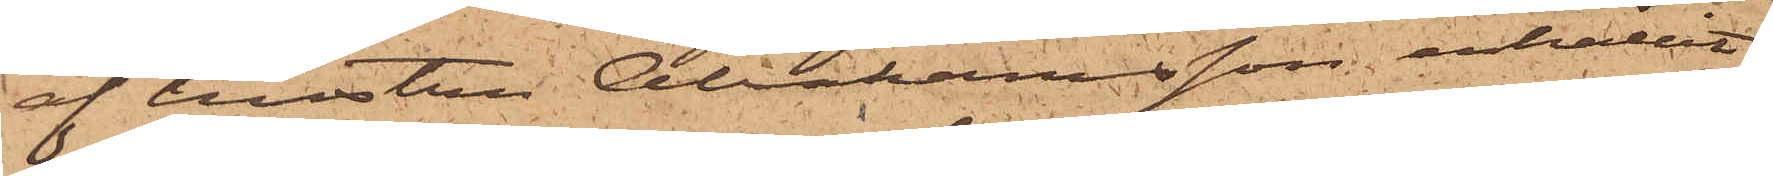af hustru Abrahamsson erhållit
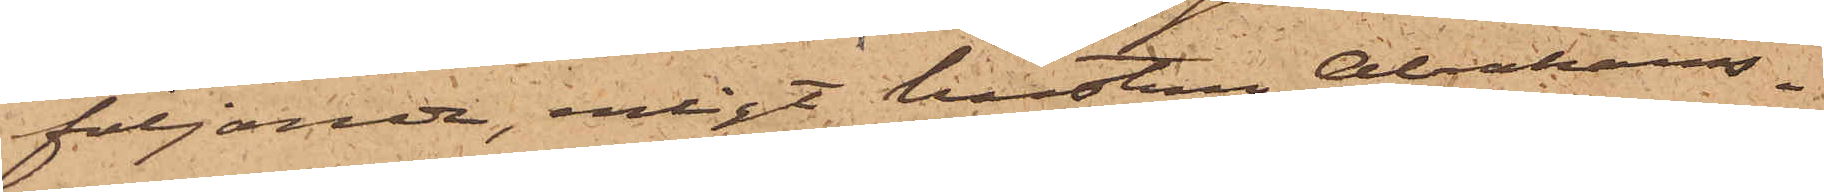följande, enligt hustru Abrahams¬
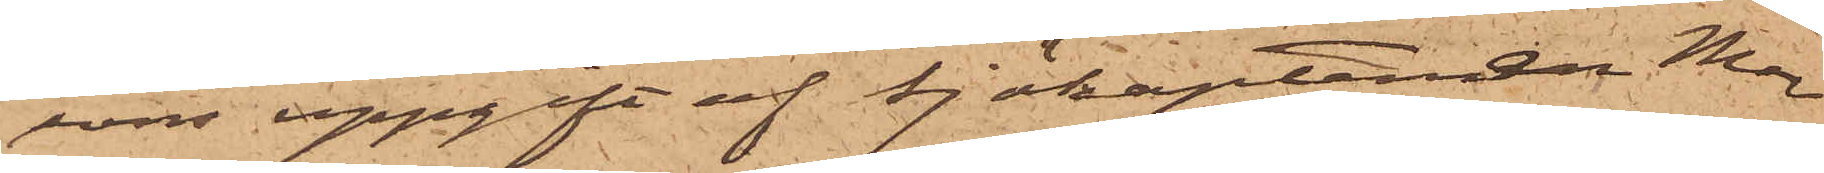sons uppgift af Sjökaptenen Mar¬
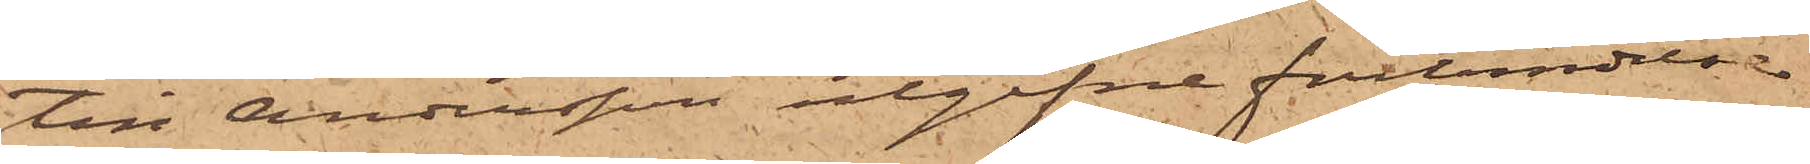tin Andersson utgifne förbindelse
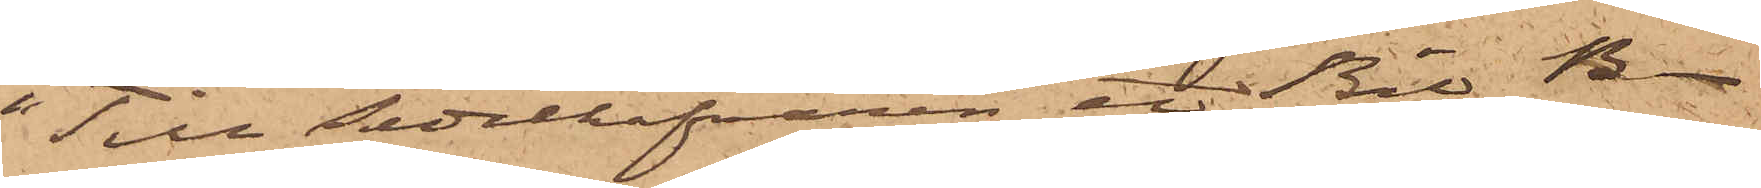"Till Sedelhafvaren etc Bil B.
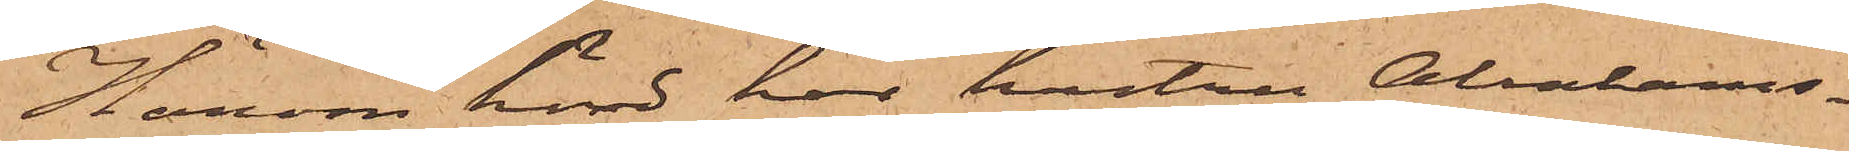Härom hörd har hustru Abrahams¬
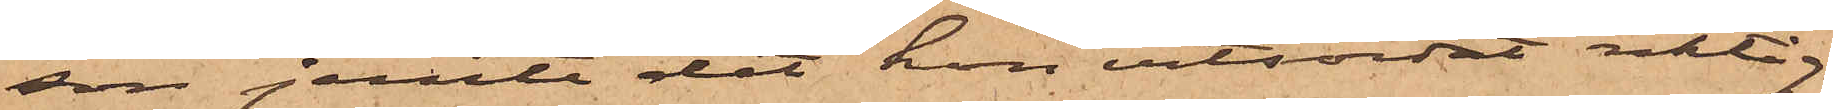son jemte det hon vitsordat riktig
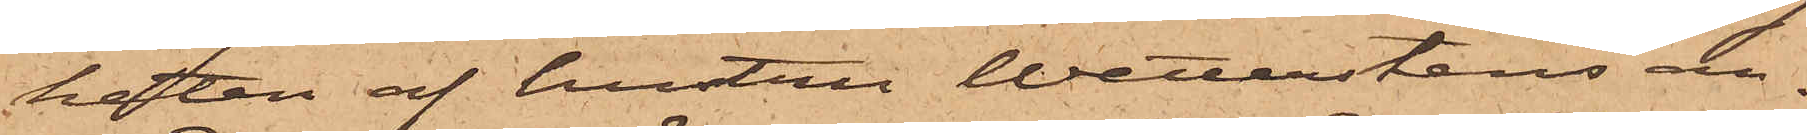heten af hustru Wetterstens an¬
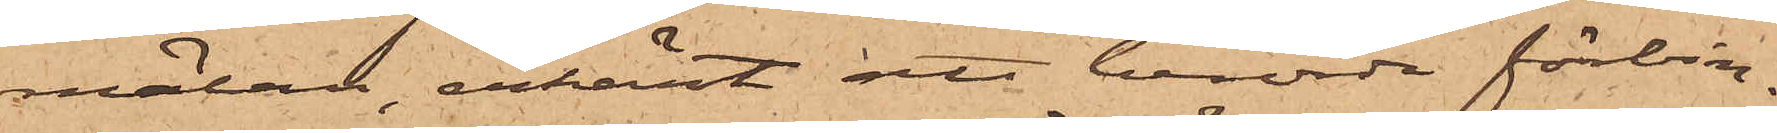mälan, erkänt att berörda förbin¬
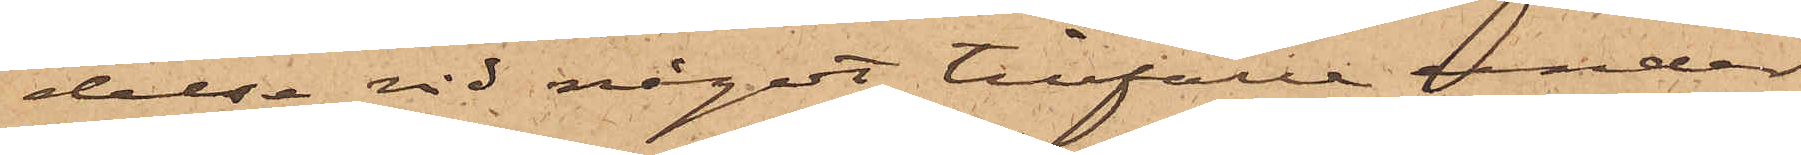delse vid något tillfälle under
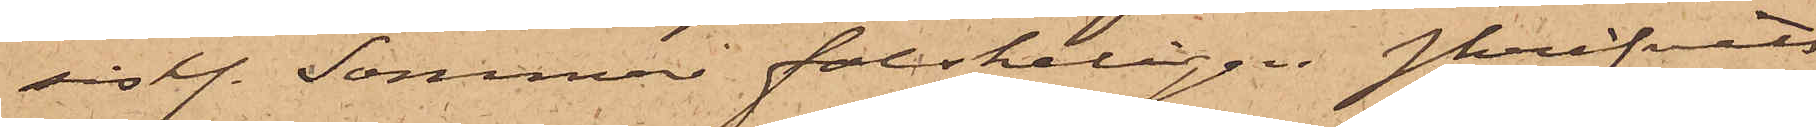sistl. Januari falskeligen skrifvits
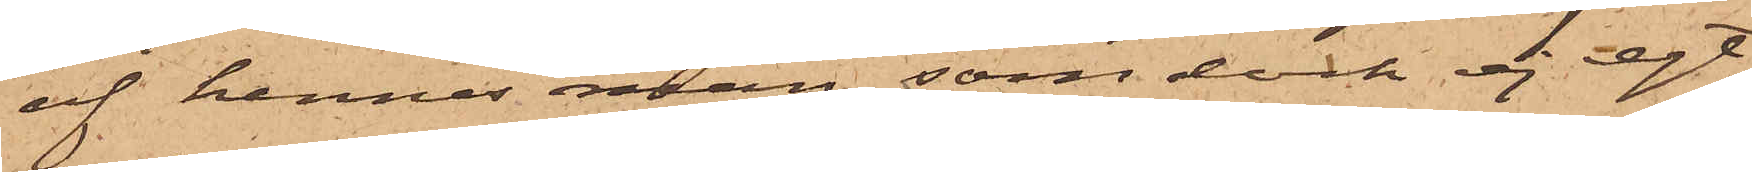af hennes man, som dock ej egt
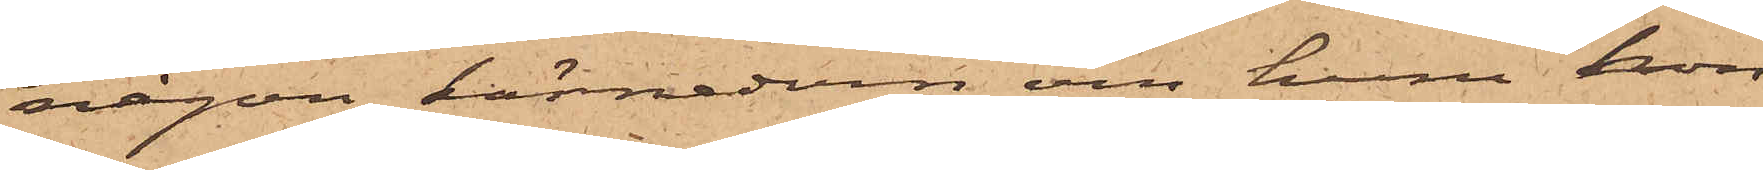någon kännedom om huru hon
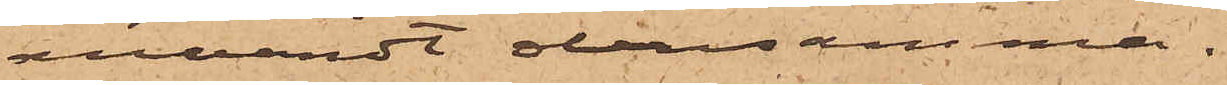användt densamma.
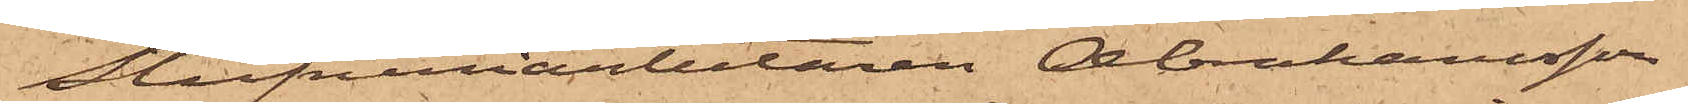Stufveriarbetaren Abrahamsson
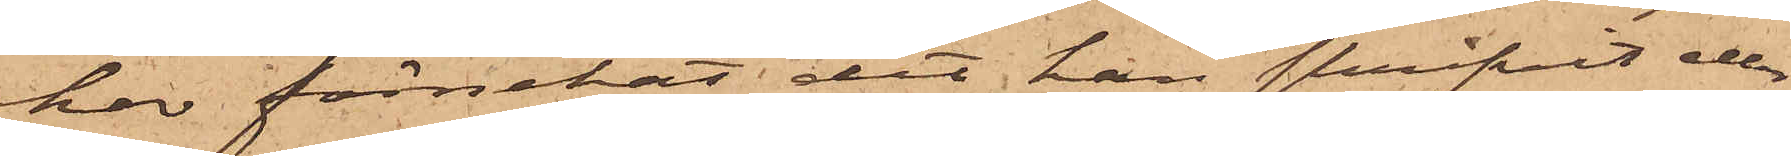har förnekat det han skrifvit eller
